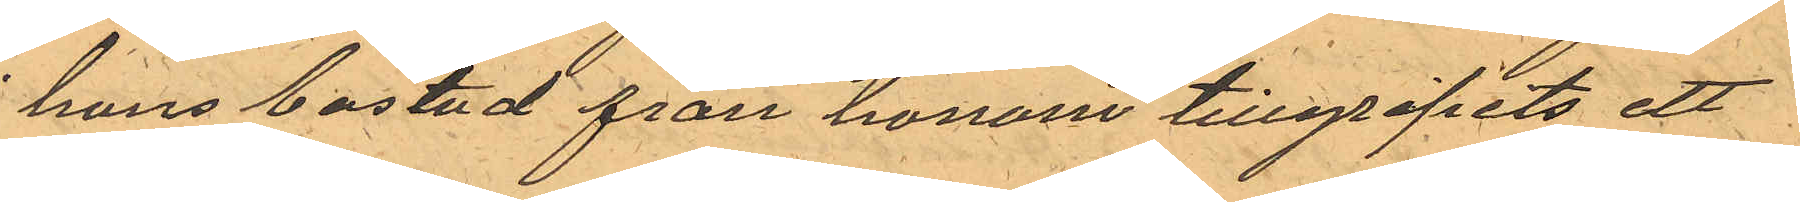i hans bostad från honom tillgripits ett
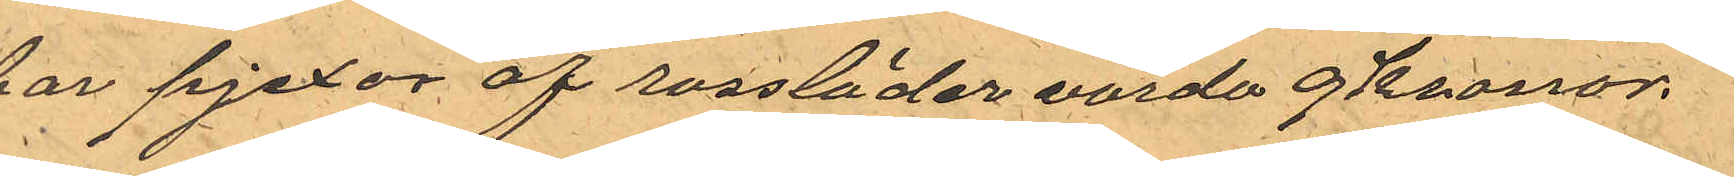par pjexor af rossläder värde 9 Kronor.
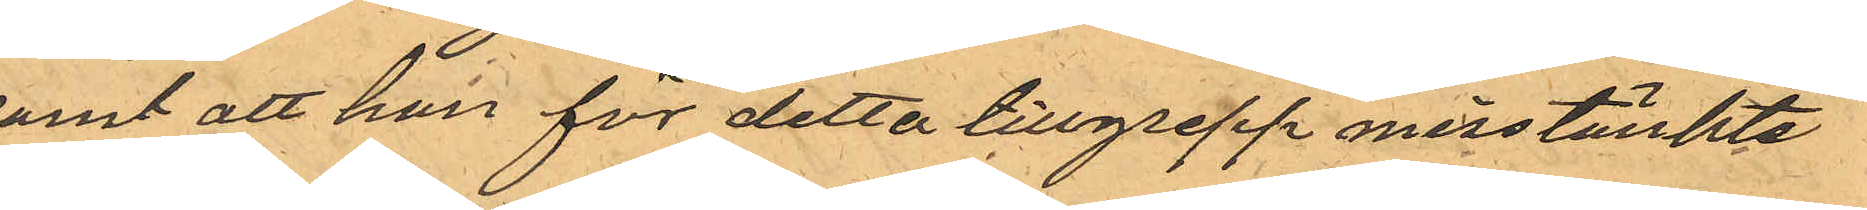samt att han för detta tillgrepp misstänkte
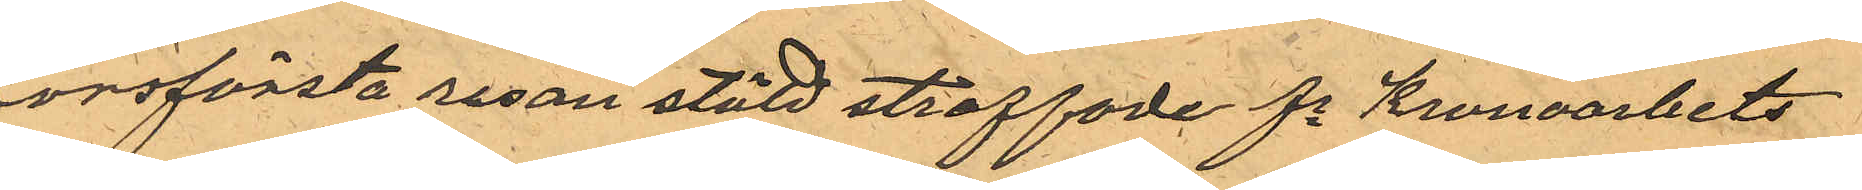försförsta resan stöld straffade fe Kronoarbets-
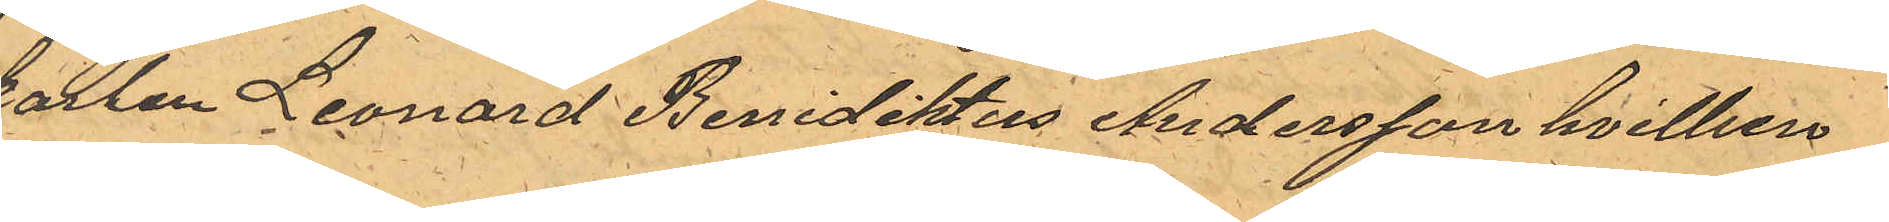karlen Leonard Benidiktus Andersson hvilken
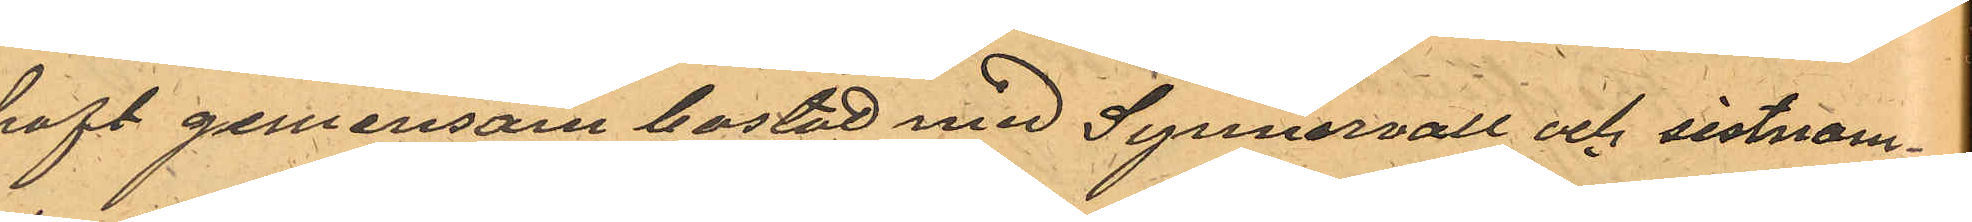haft gemensam bostad med Synnervall och sistnam¬
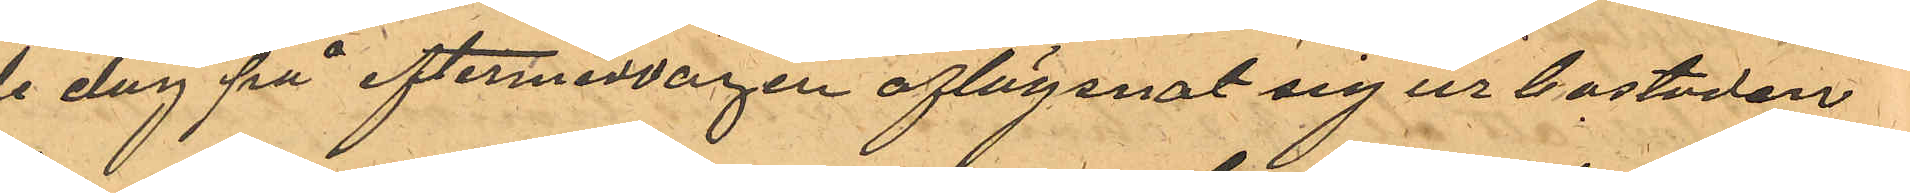de dag på eftermiddagen aflägsnat sig ur bostaden
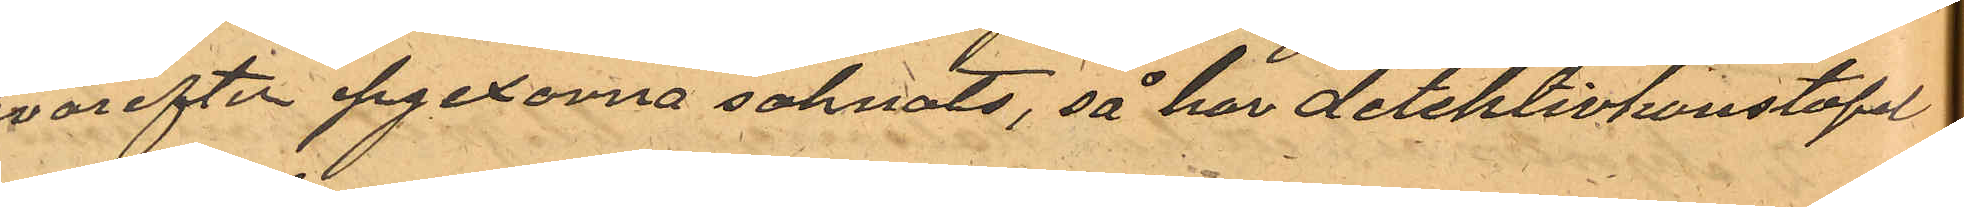hvarefter pjexorna saknats, så har detektivkonstapel
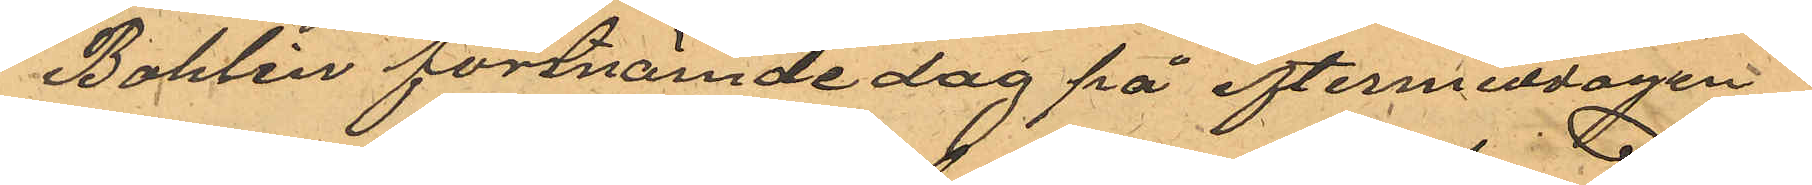J Bohlin förstnämde dag på eftermiddagen
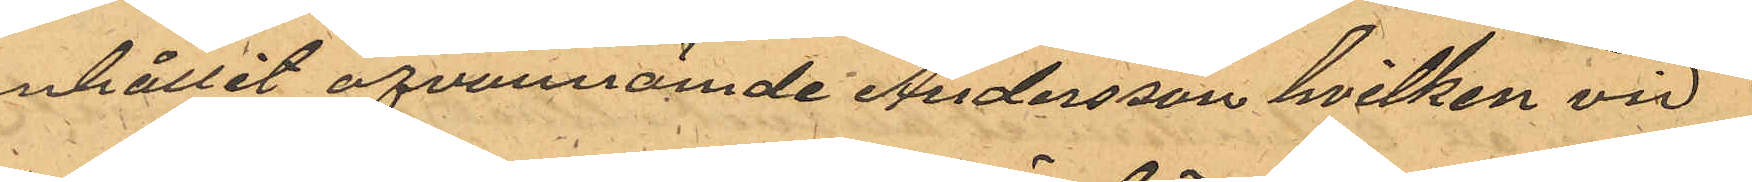anhållit ofvannämde Andersson hvilken vid
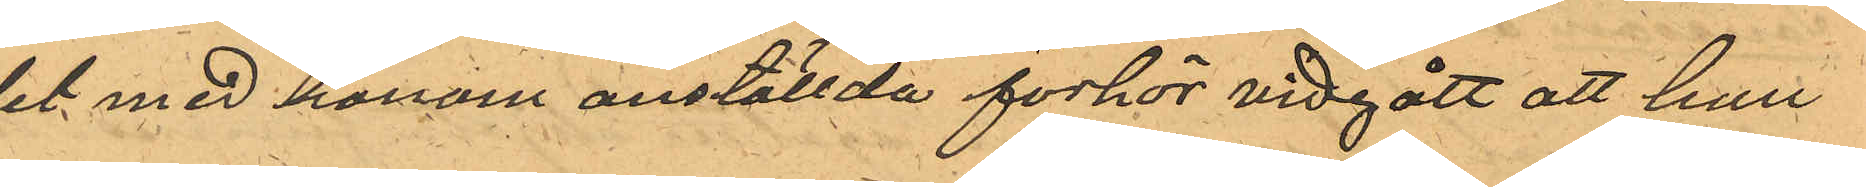det med honom anställda förhör vidgått att han
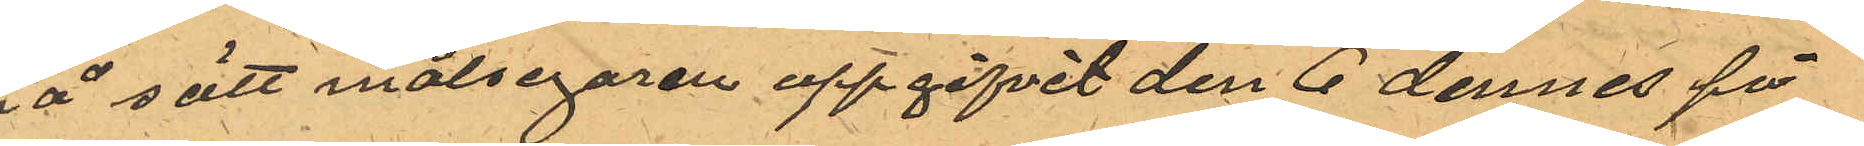på sätt målsegaren uppgifvit den 6 dennes på
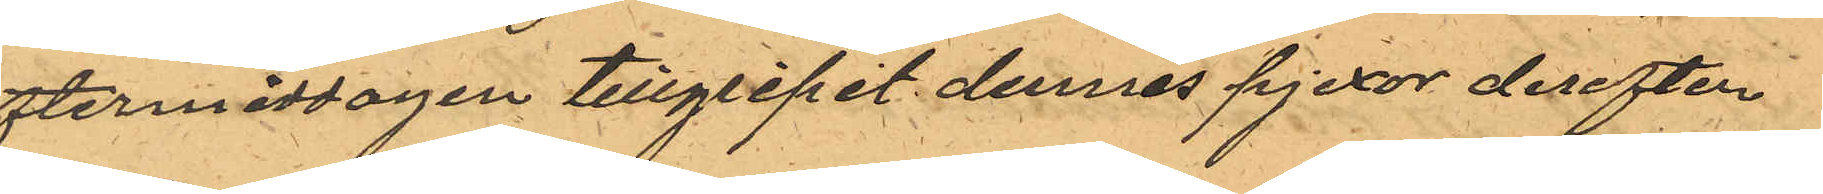eftermiddagen tillgripit dennes pjexor derefter
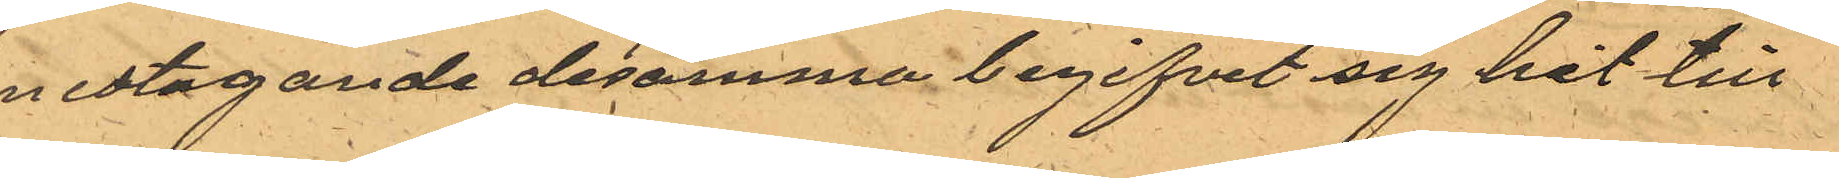medtagande desamma begifvit sig hit till
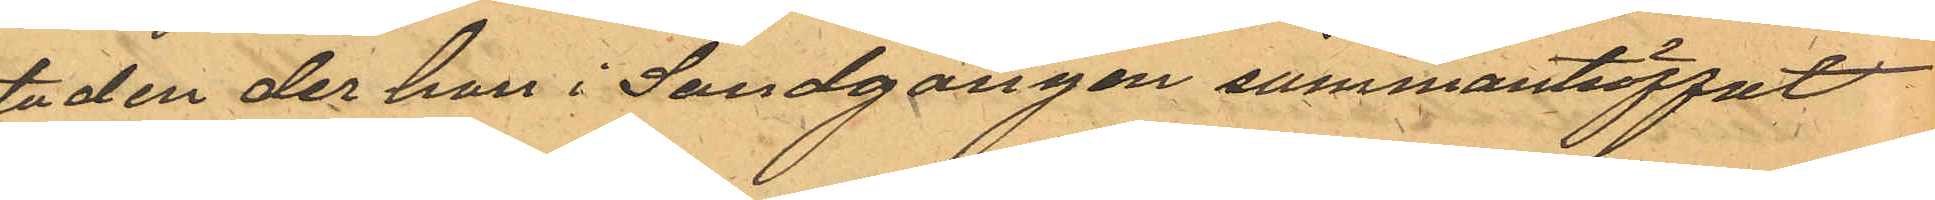staden der han i Sandgången sammanträffat
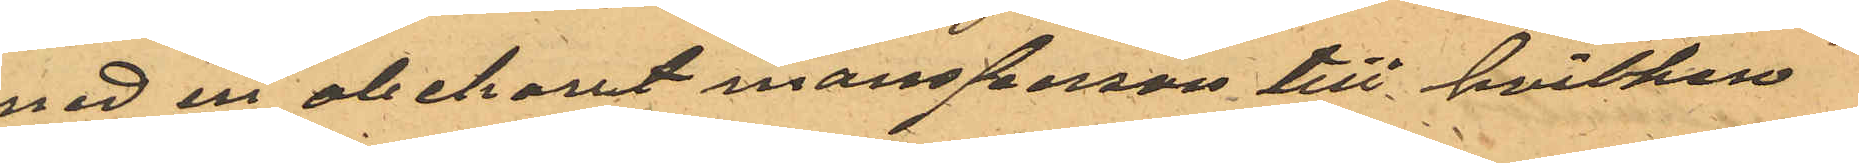med en obekant mansperson till hvilken
